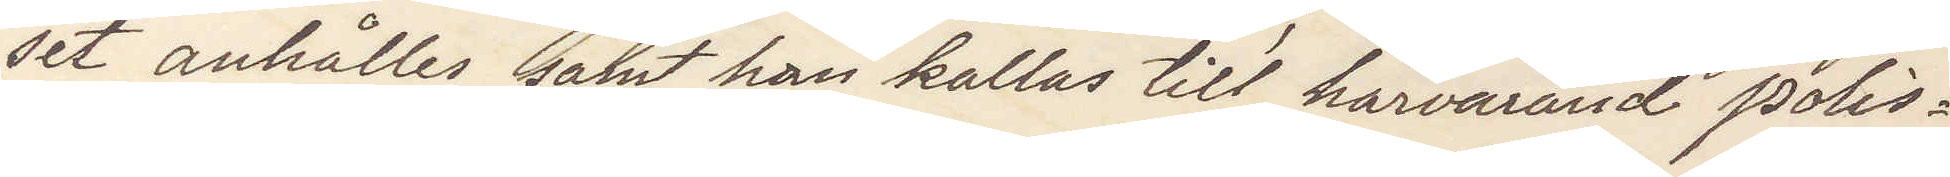set anhålles samt han kallas till härvarande polis¬
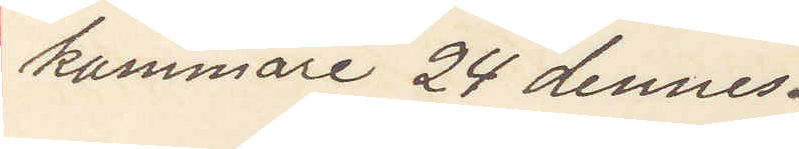kammare 24 dennes.
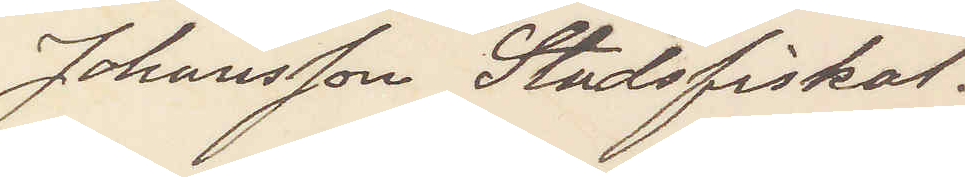Johansson Stadsfiskal.
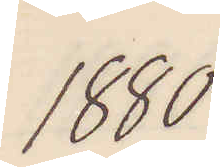1880
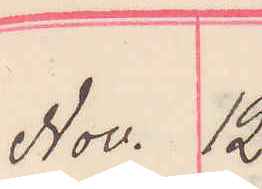Nov. 12.
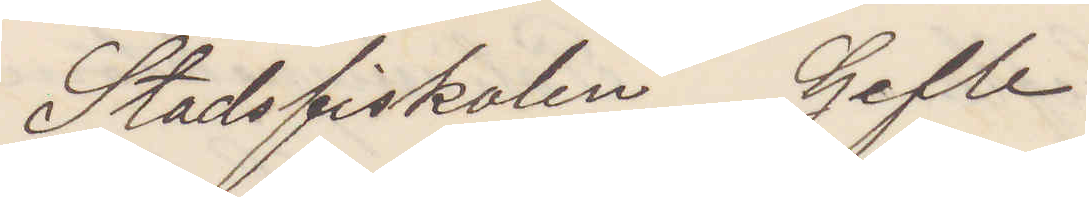Stadsfiskalen Gefle
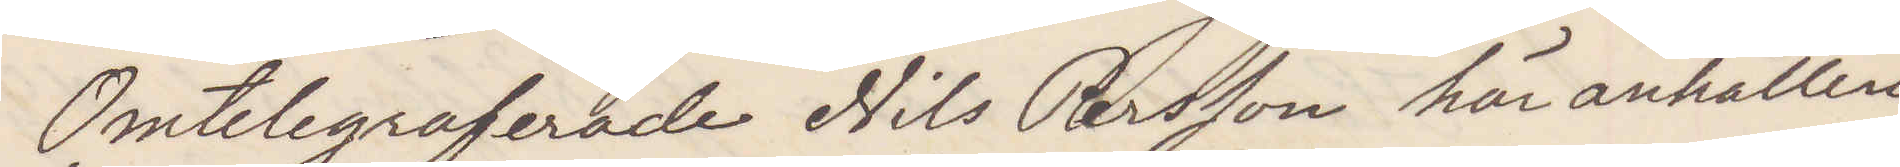Omtelegraferade Nils Persson här anhållen
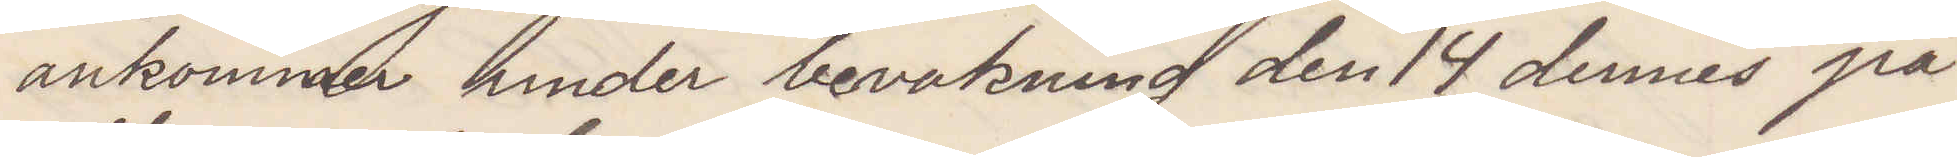ankommer under bevakning den 14 dennes på
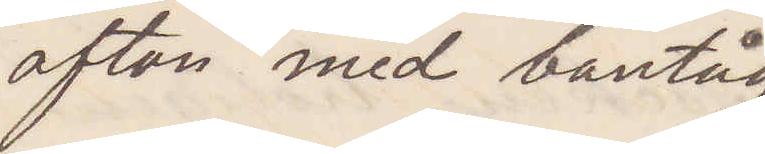afton med bantåg
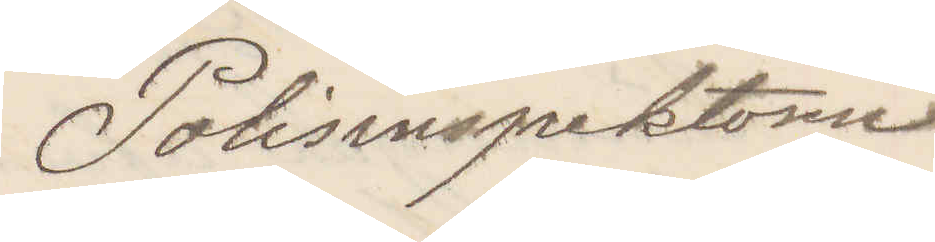Polisinspektorn
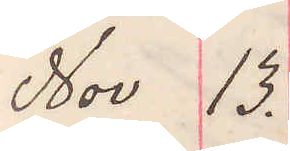Nov 13.
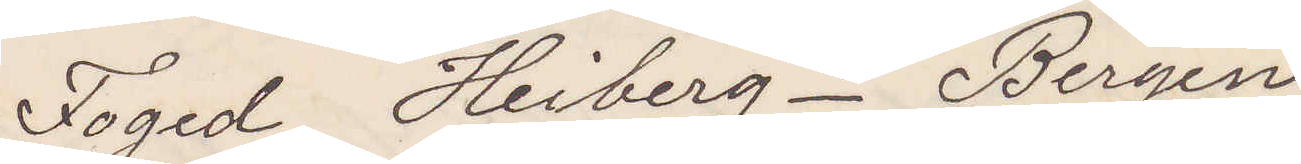Foged Heiberg. Bergen
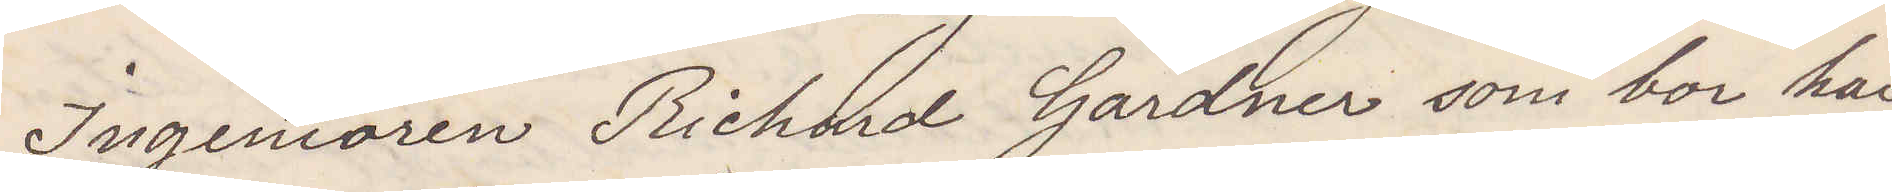Ingeniören Richard Gardner som bor här
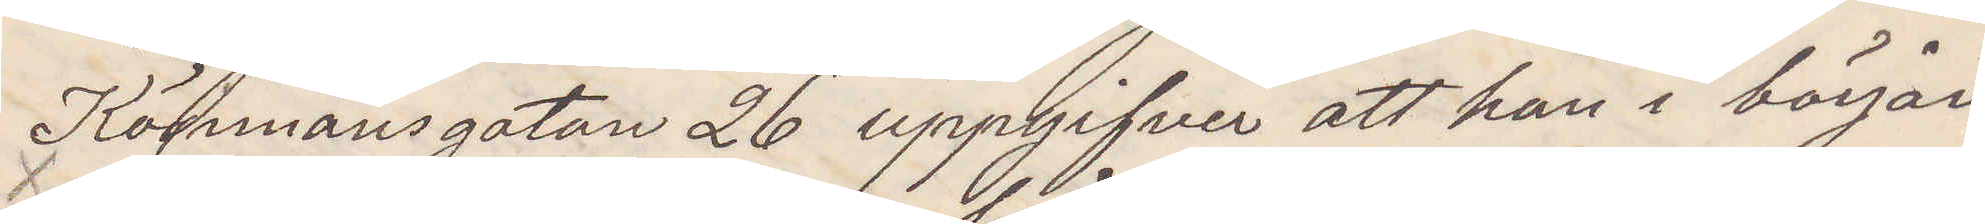Köpmansgatan 26 uppgifver att han i början
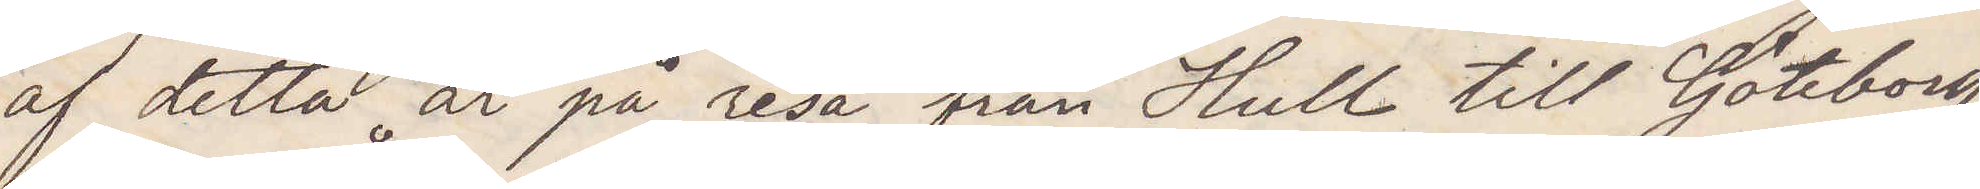af detta år på resa från Hull till Göteborg
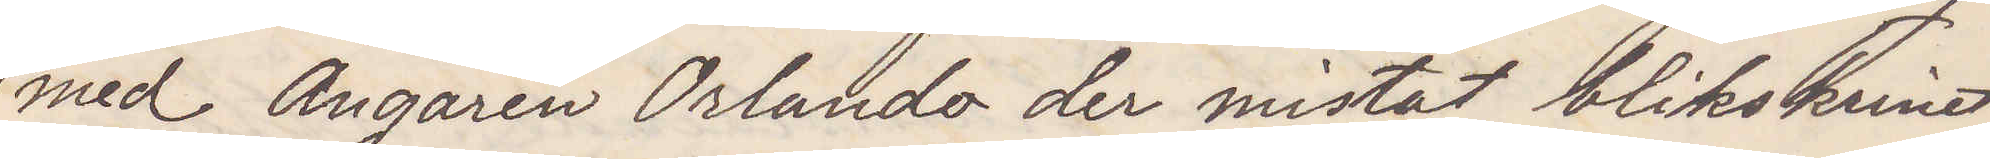med Ångaren Orlando der mistat blikskrinet,
